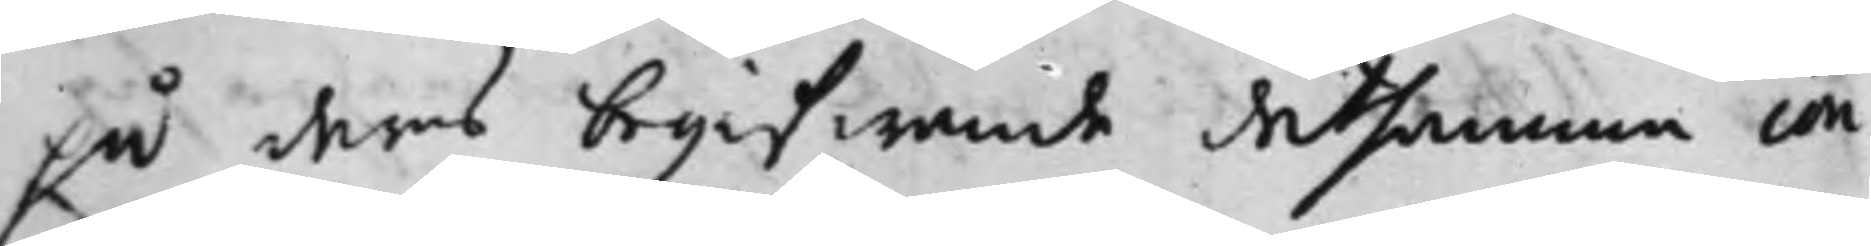på deras begifwande detsamma con¬
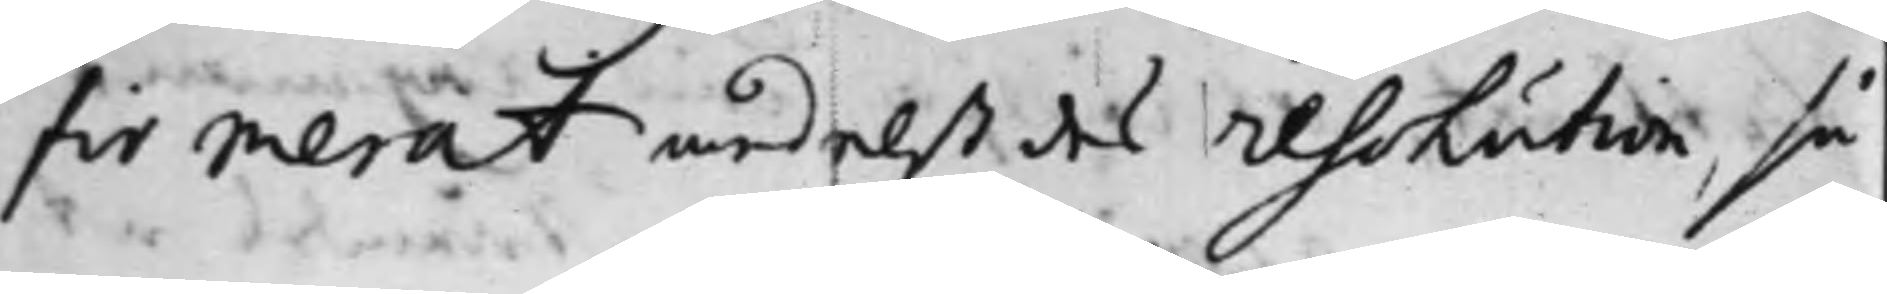firmerat medelst des Resolution, så
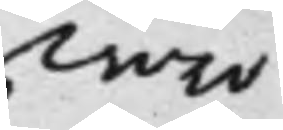woro
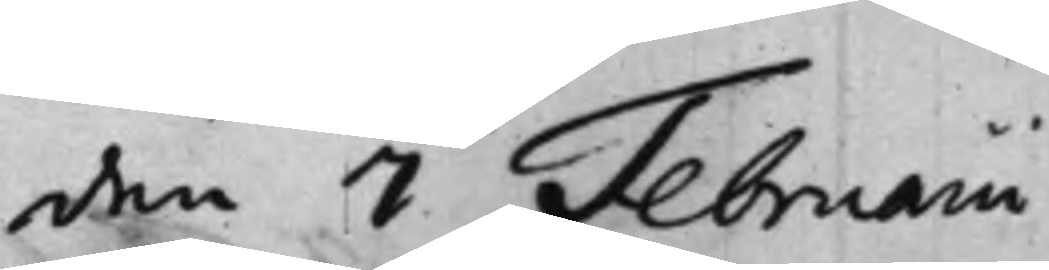den 7 Februarii
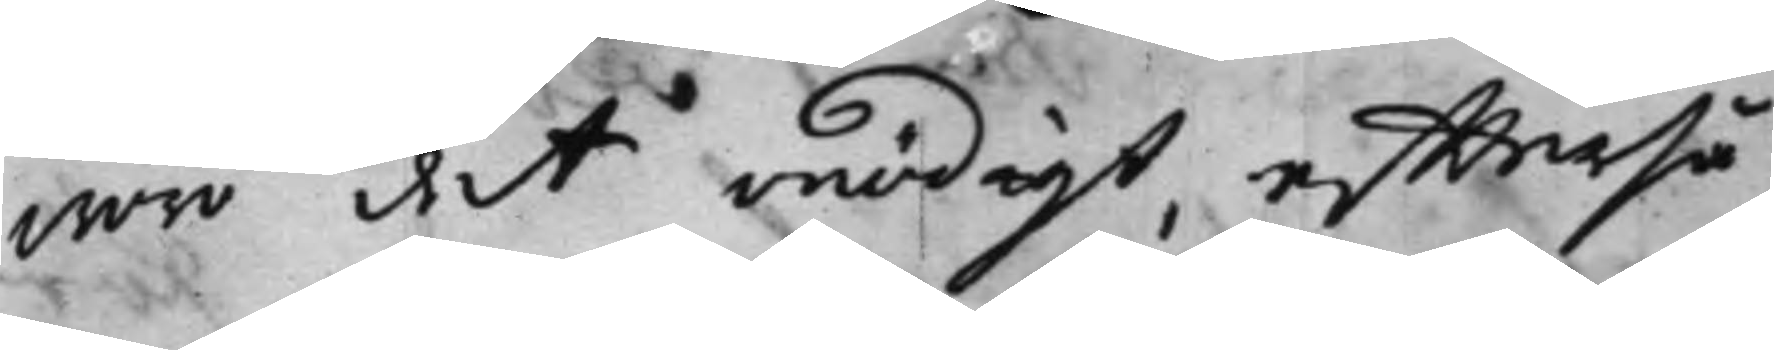woro det onödigt, effterså¬
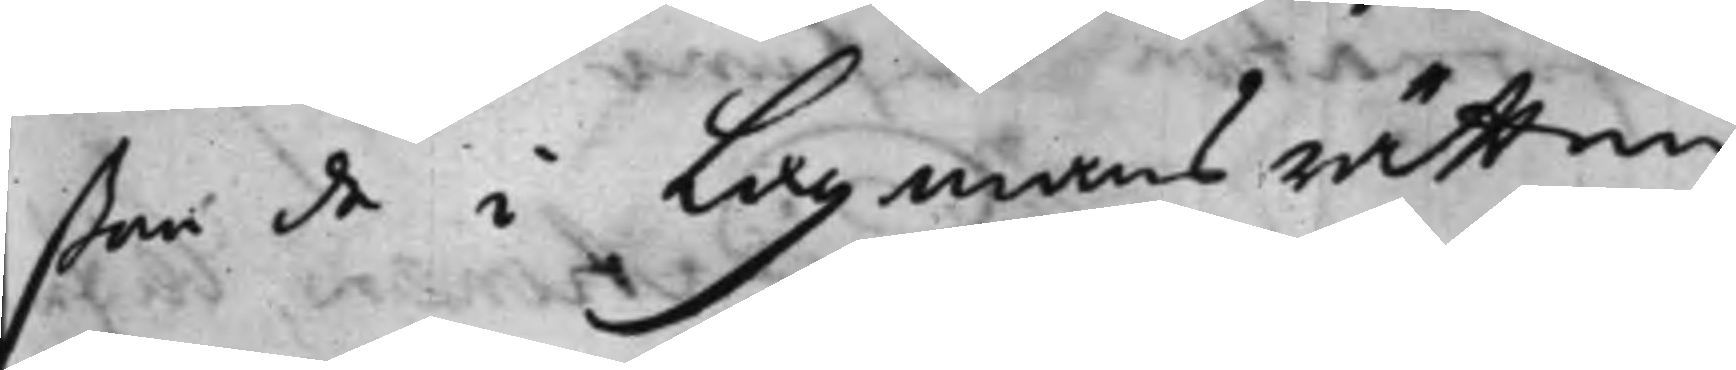ßom de i Lagmans rätten
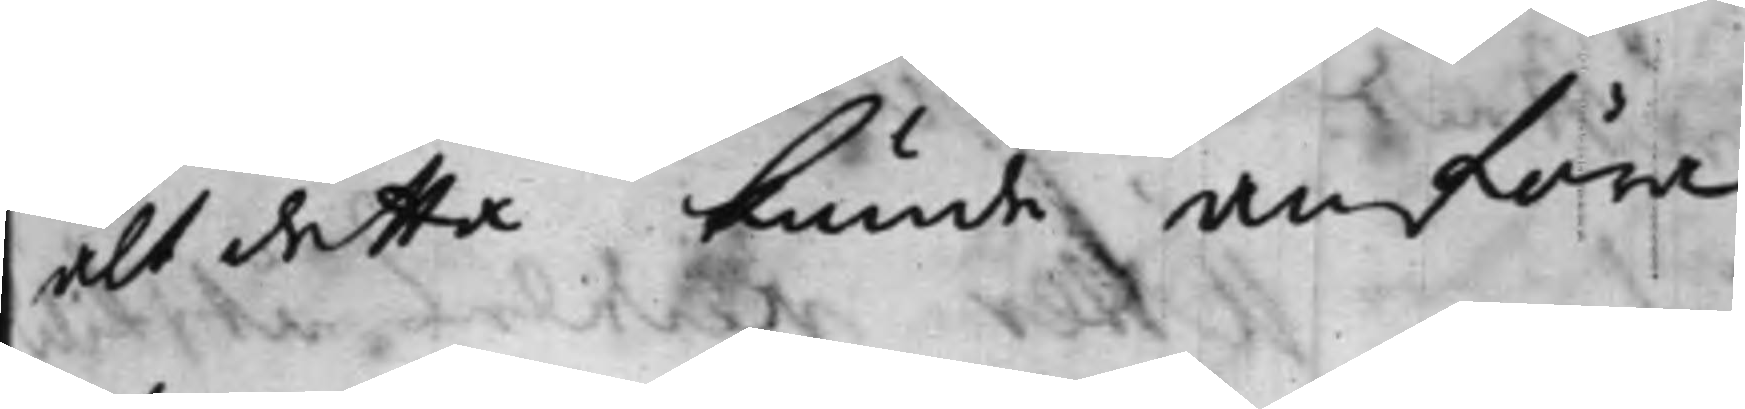alt dettta kunde anföra.
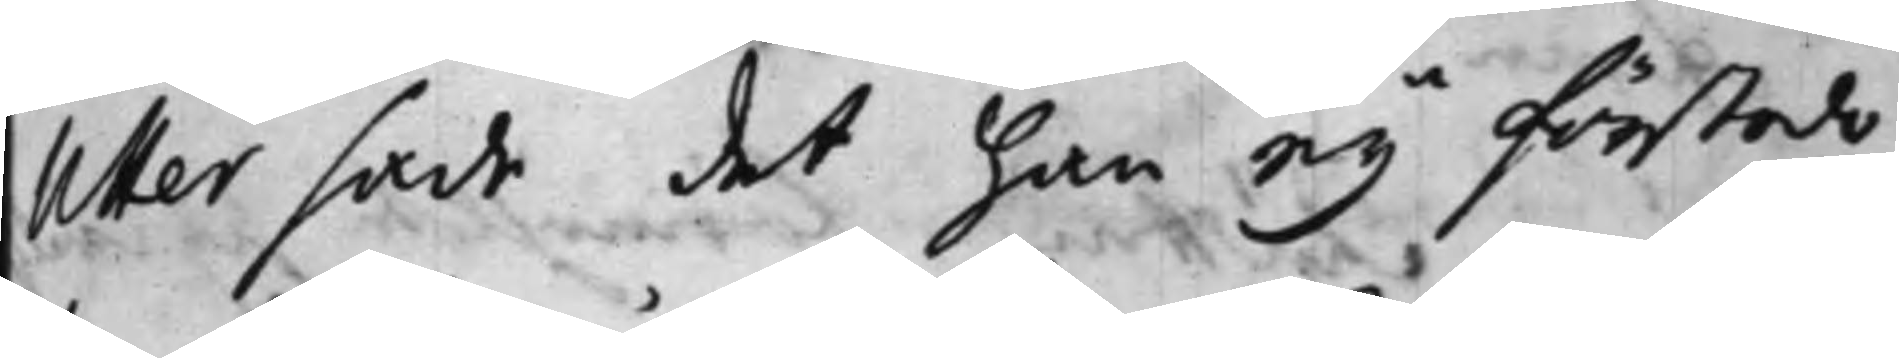Utter sade det han ey förstodo
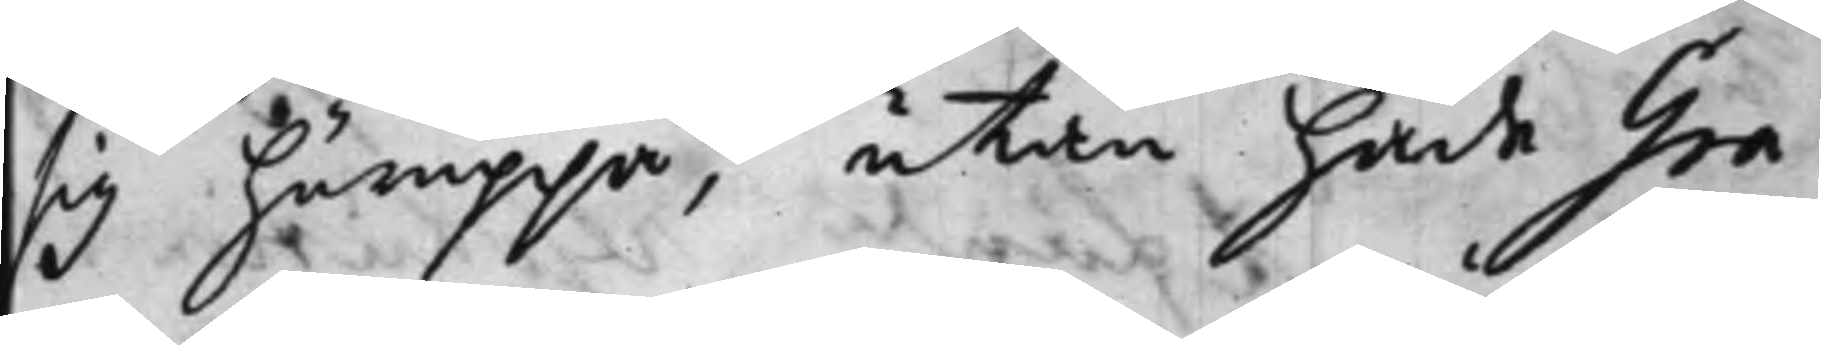sig häruppå, utan hade Gra¬
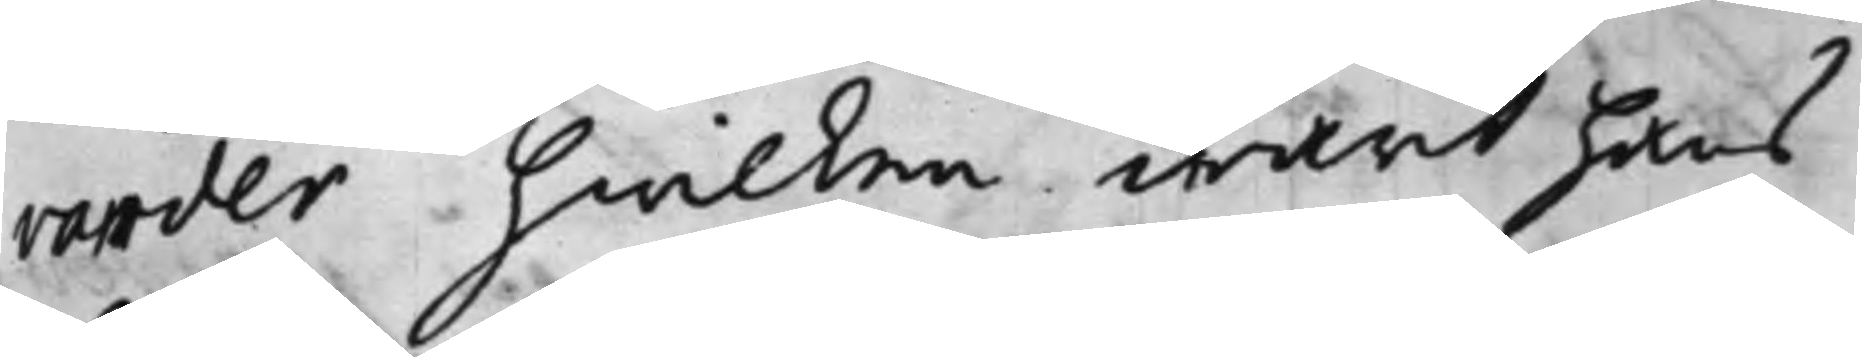vander hwilken warit hans
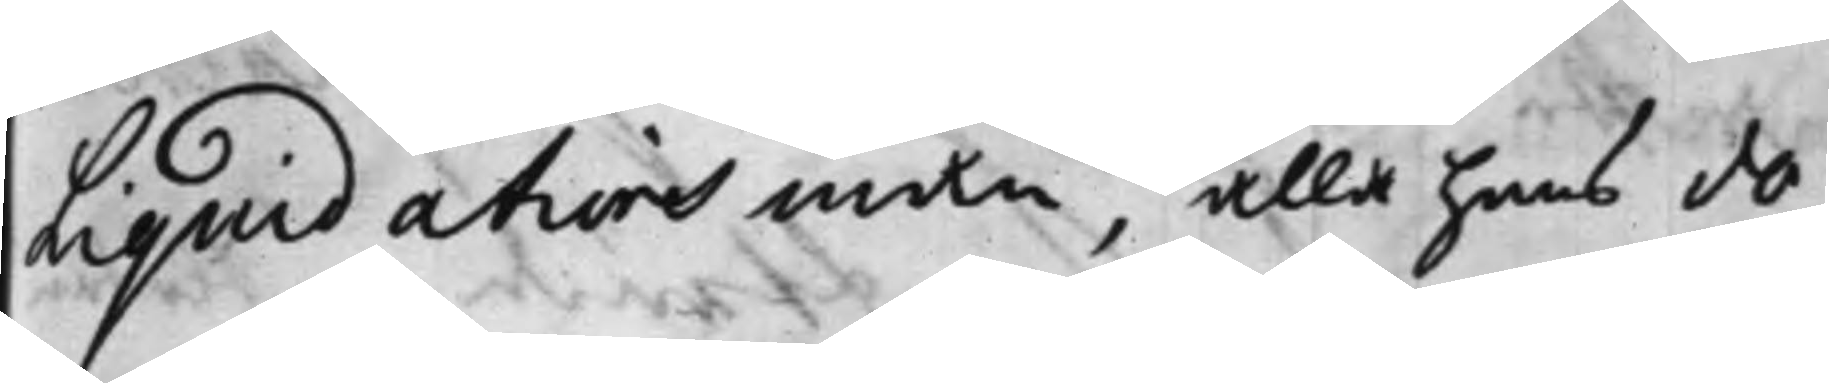Liquidations man, alla hand do¬
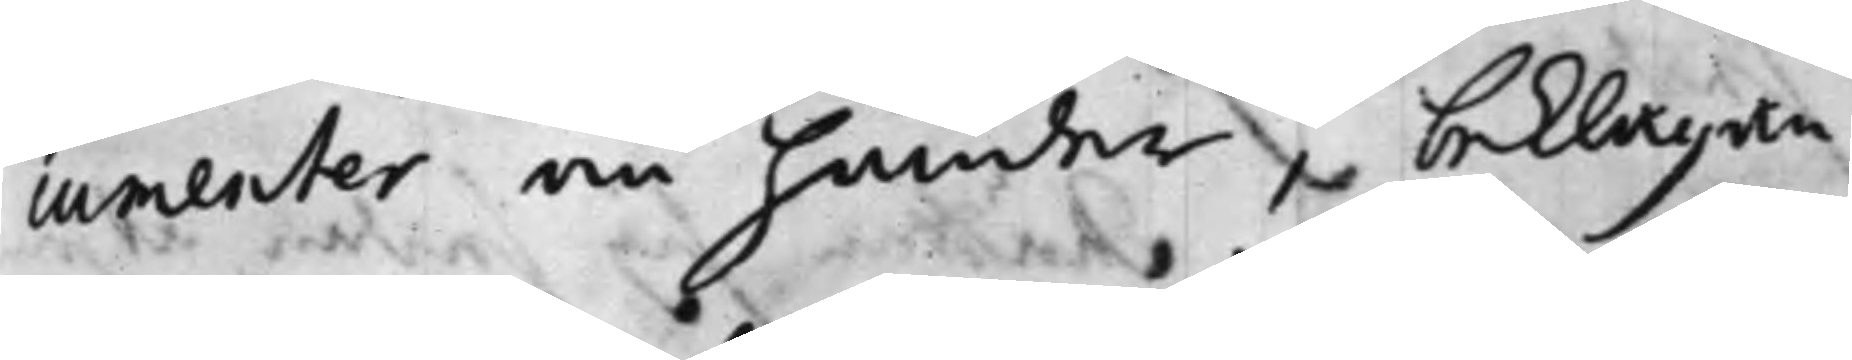cumenter om händer, beklagan¬
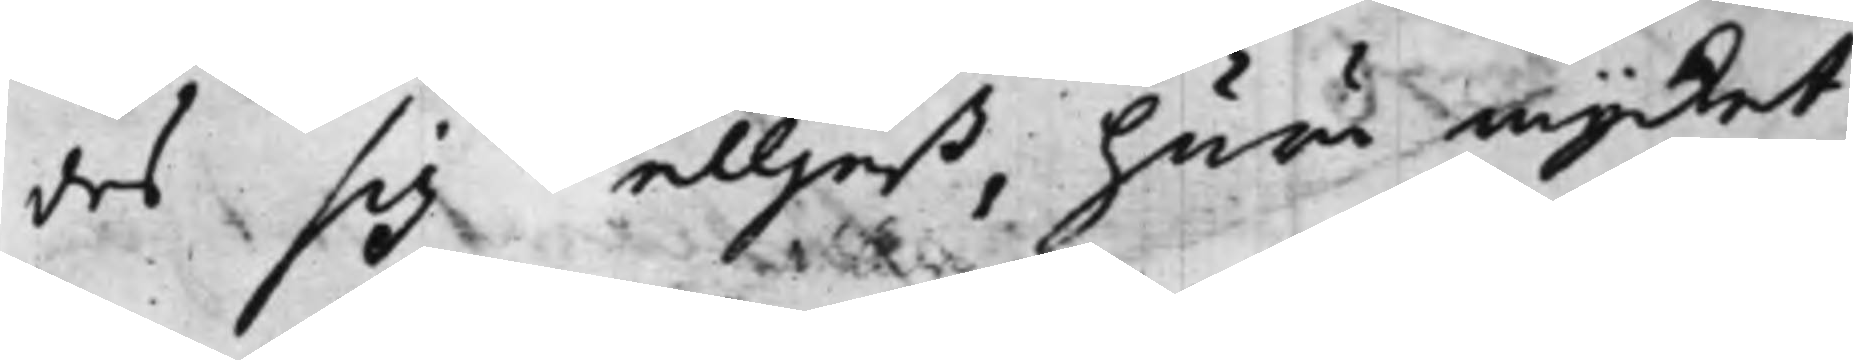des sig elljest, huru mycket
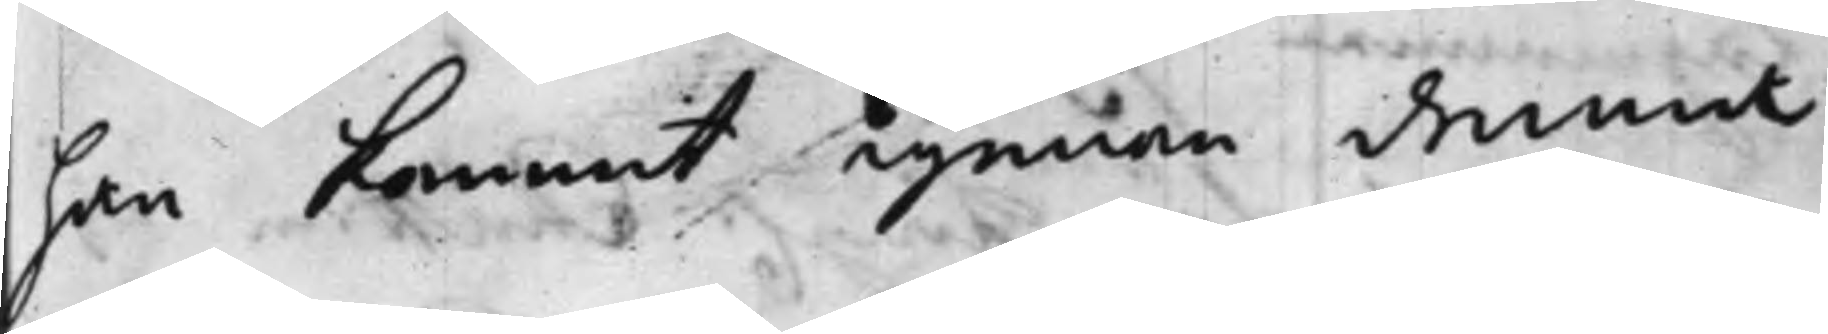han kommit igenom denns
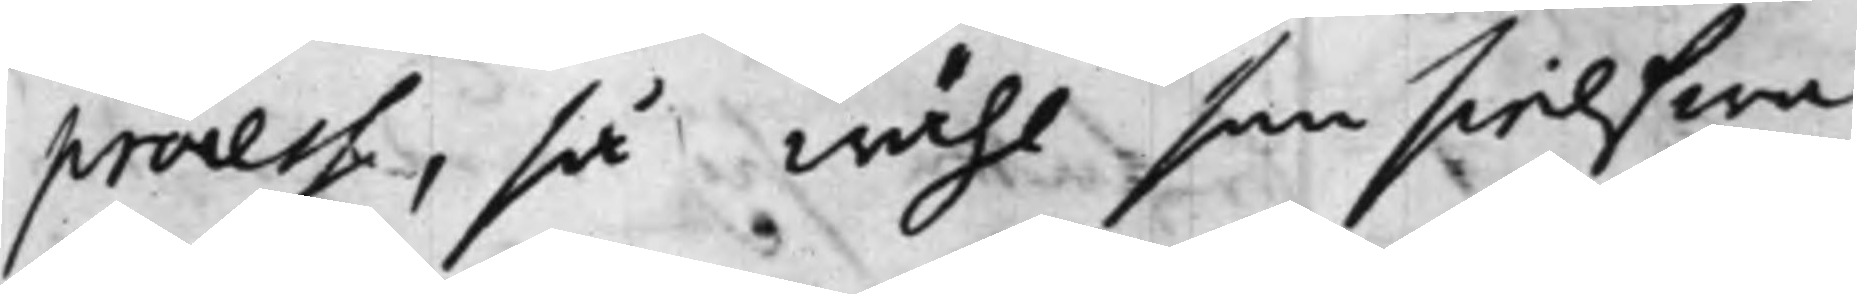process, så wähl som sielfwa
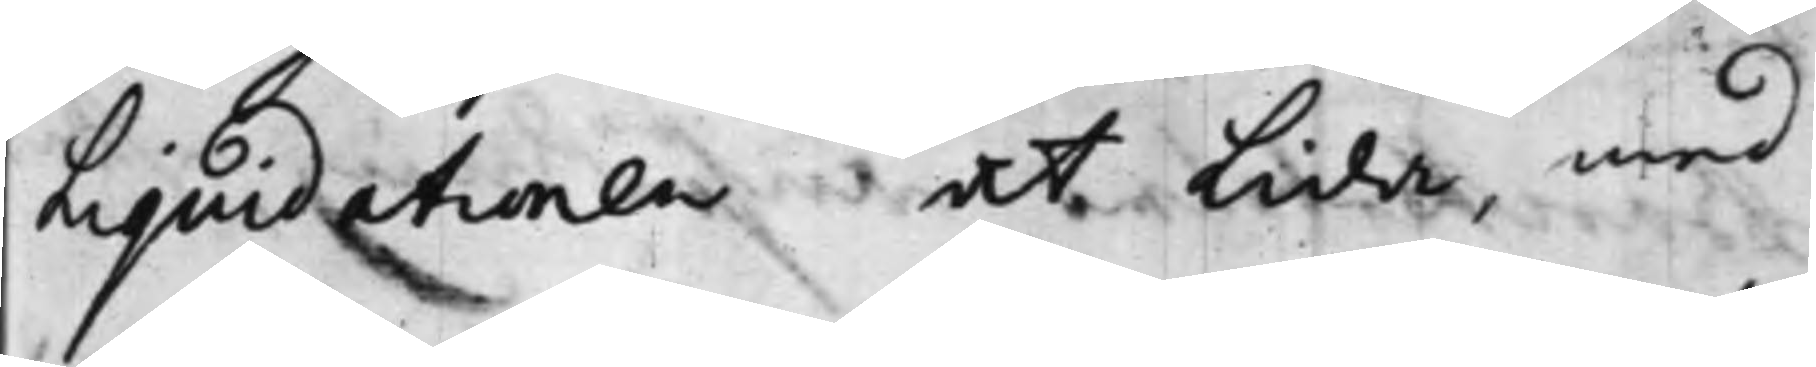Liquidationen at Lida, med
